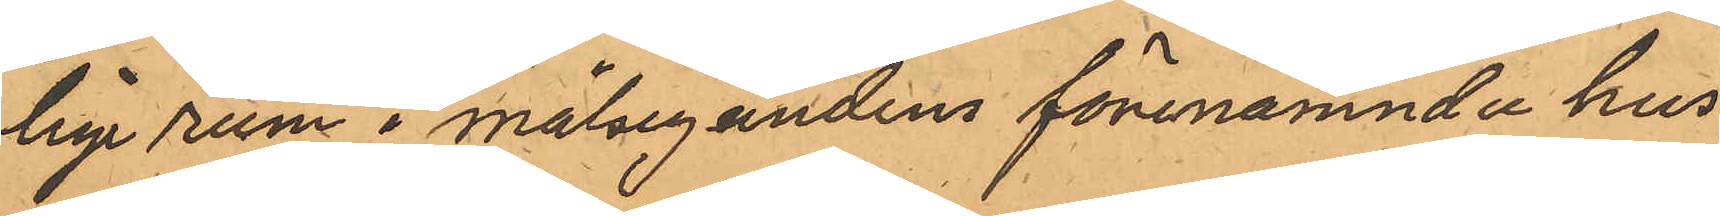lige rum i målsegandens förenamnda hus
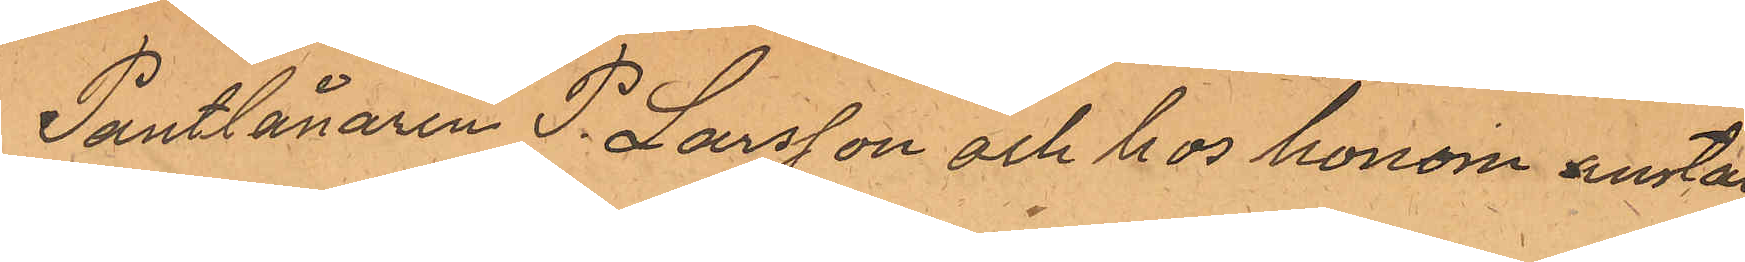Pantlånaren P. Larsson och hos honom anstäl¬
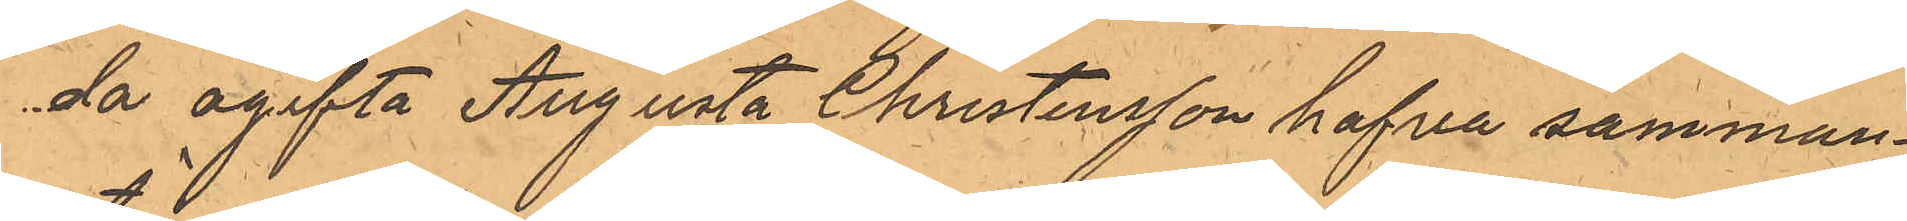da ogifta Augusta Christensson hafva samman¬
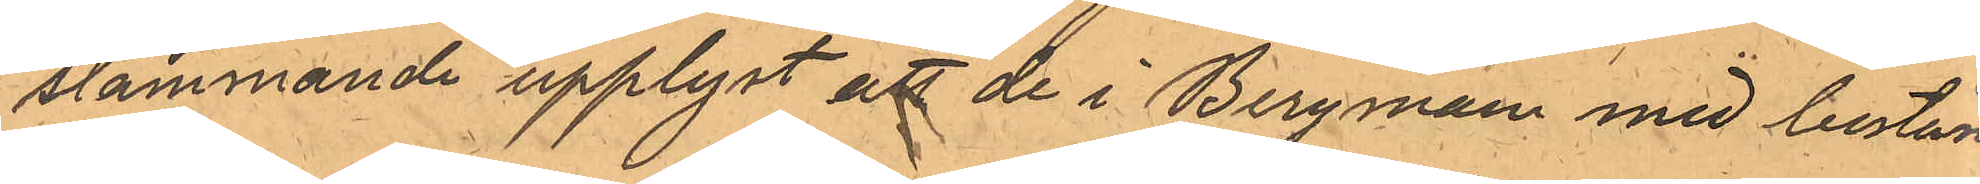stämmande upplyst att de i Bergman med bestäm¬
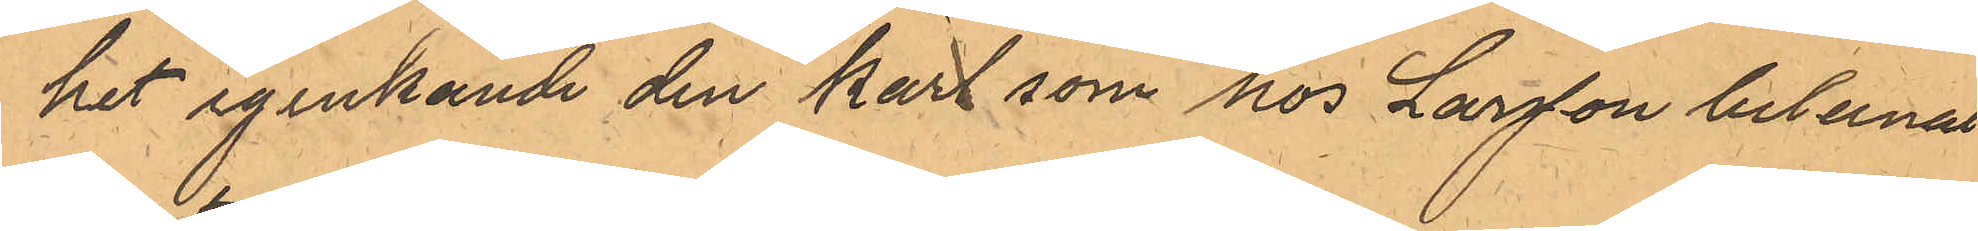het igenkände den karl som hos Larsson belånat
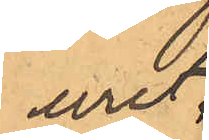uret.
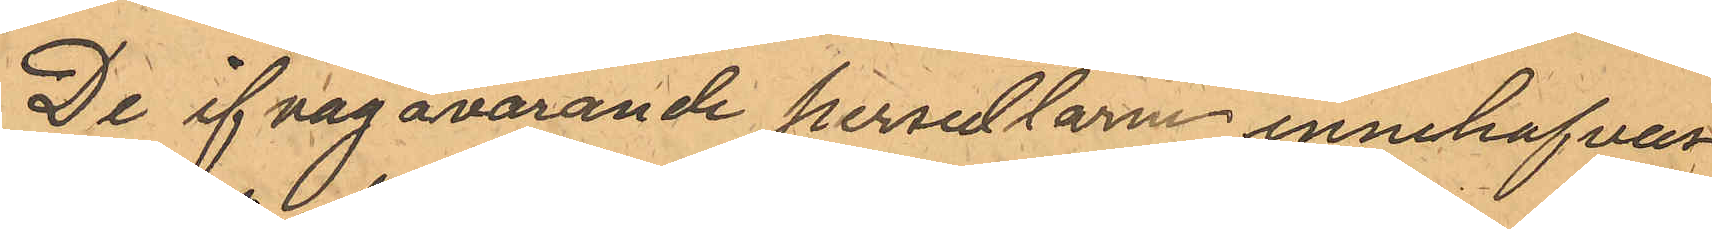De ifrågavarande persedlarne innehafvas
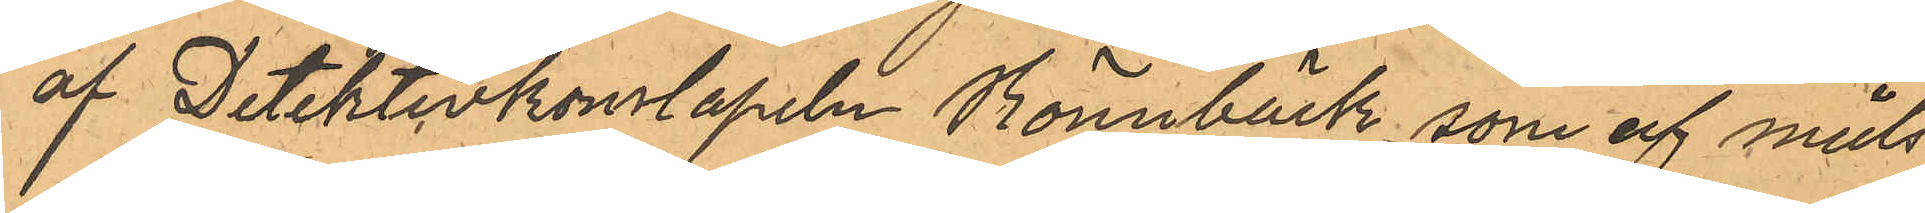af Detektivkonstapeln Rönnbäck, som af måls¬
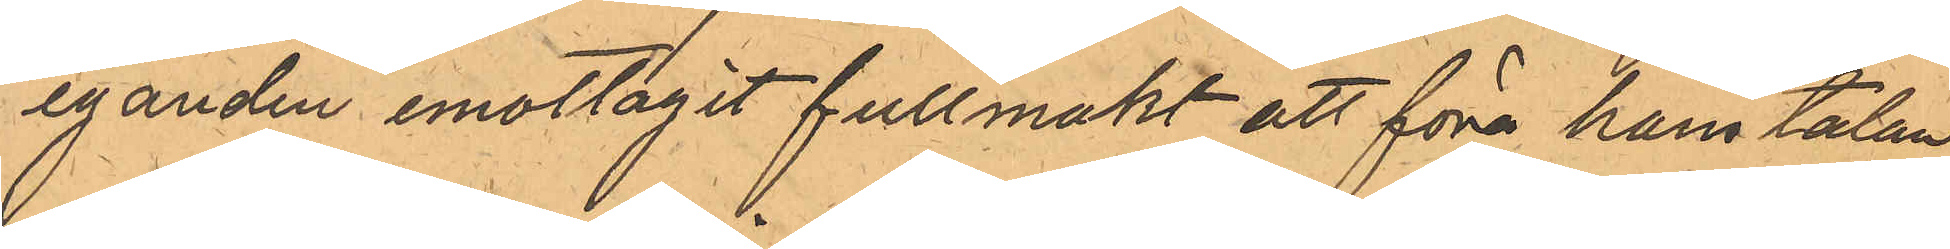eganden emottagit fullmakt att föra hans talan
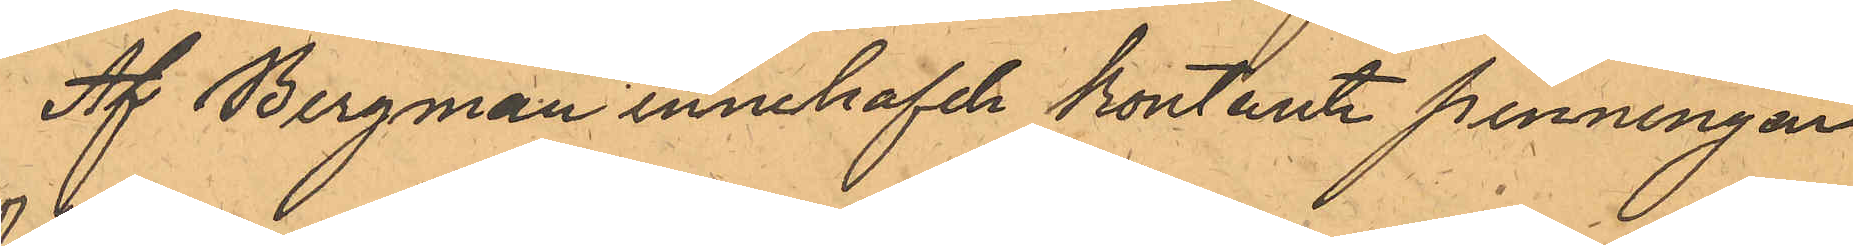Af Bergman innehafde kontante penningar
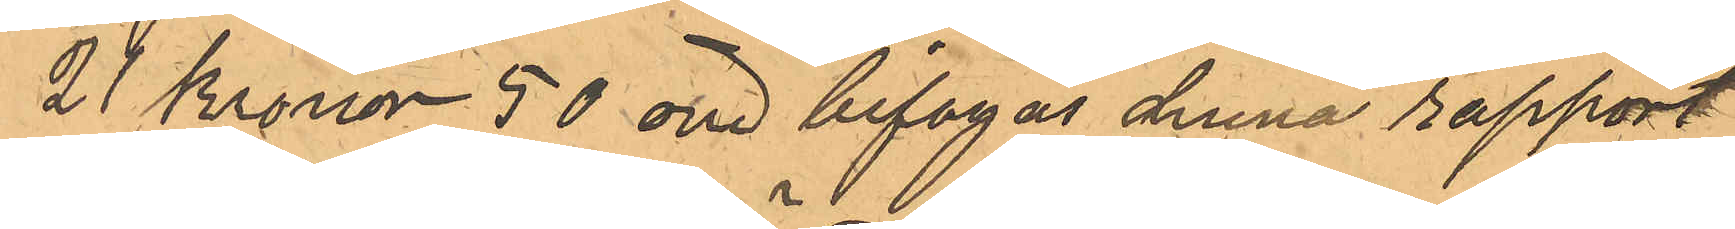21 Kronor 50 öre bifogas denna rapport
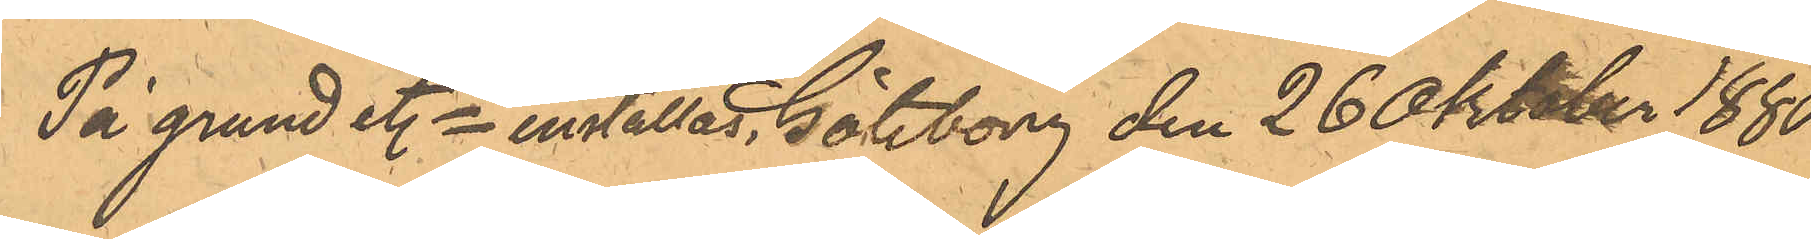På grund etc inställas. Göteborg den 26 Oktober 1880
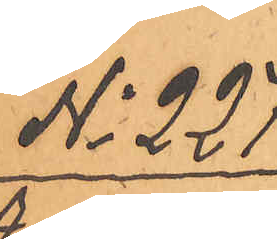No 227
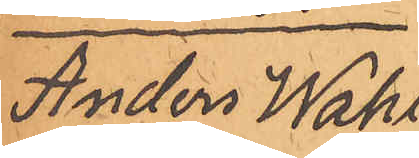Anders Wahl¬
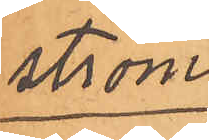ström
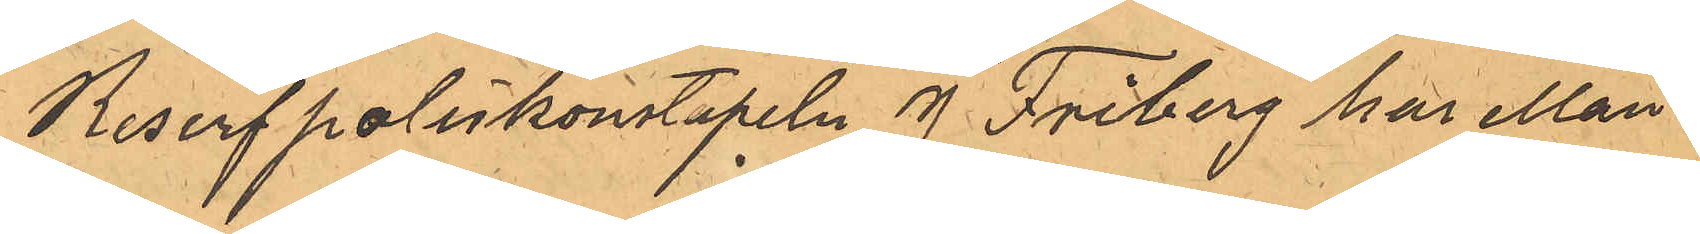Reserfpoliskonstapeln J. Friberg har Mån¬
